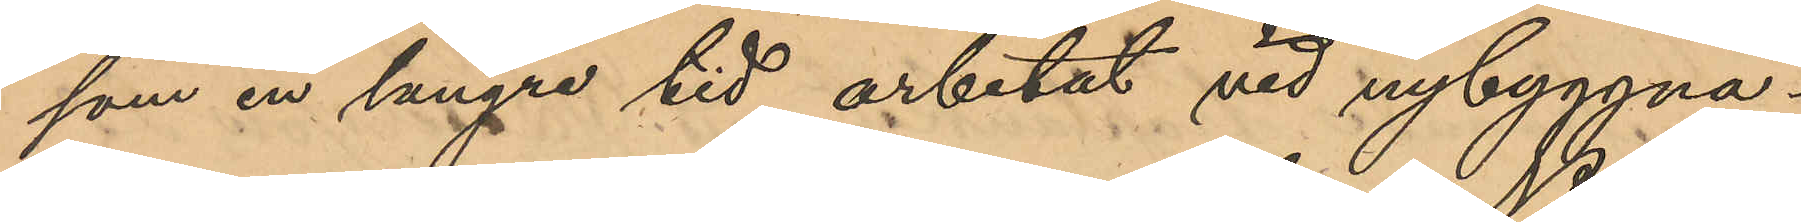som en längre tid arbetat vid nybyggna¬
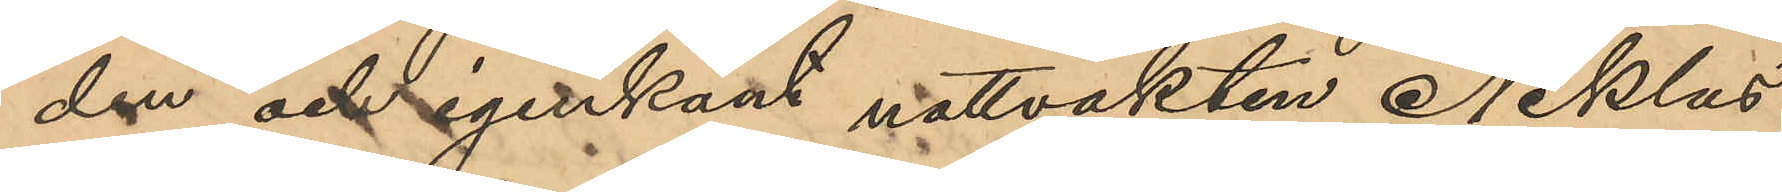den och igenkänt nattvakten Niklas
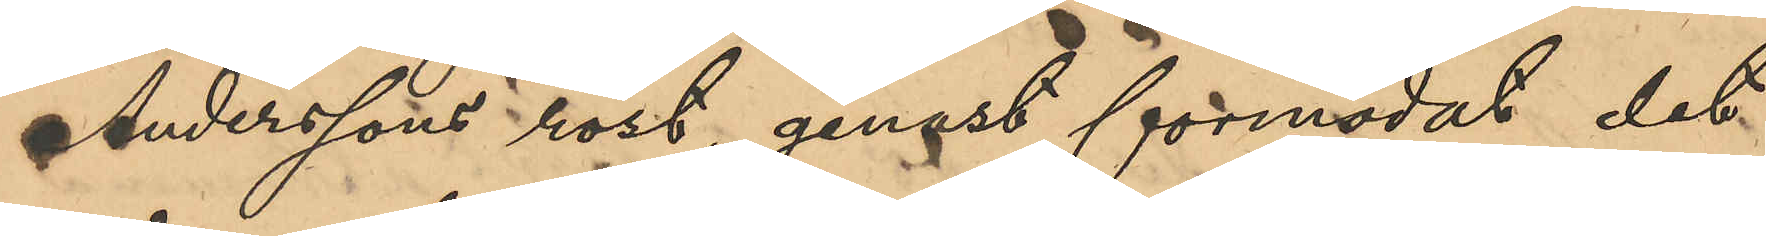Anderssons röst, genast förmodat det
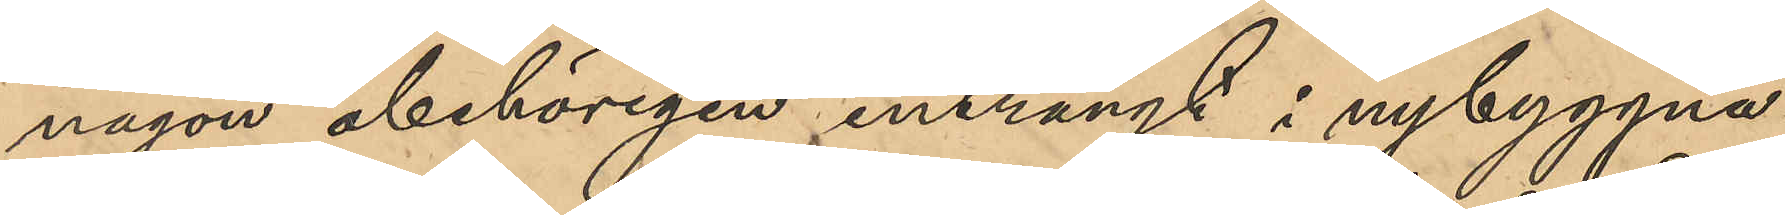någon obehörigen inträngt i nybyggna¬
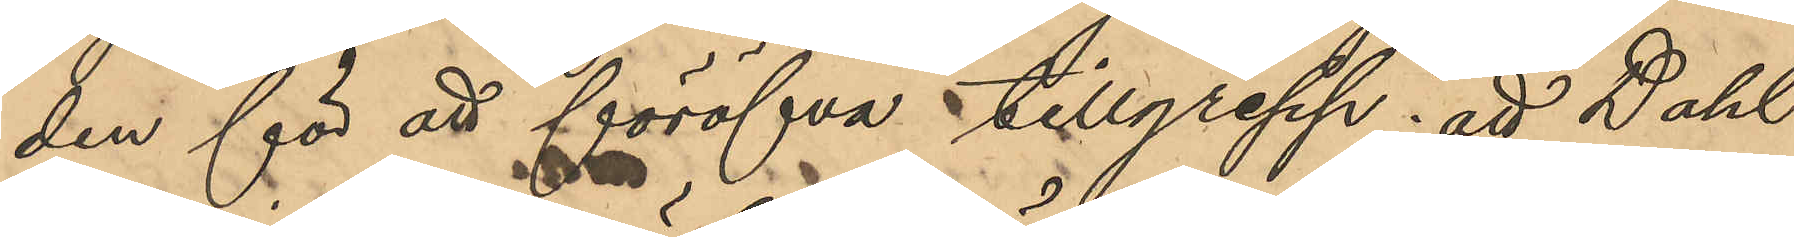den för att föröfva tillgrepp; att Dahl
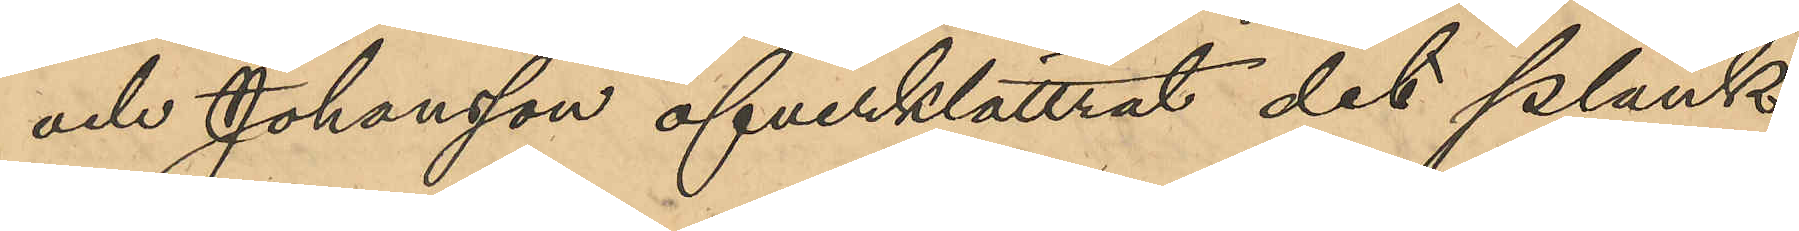och Johansson öfverklättrat den plank,
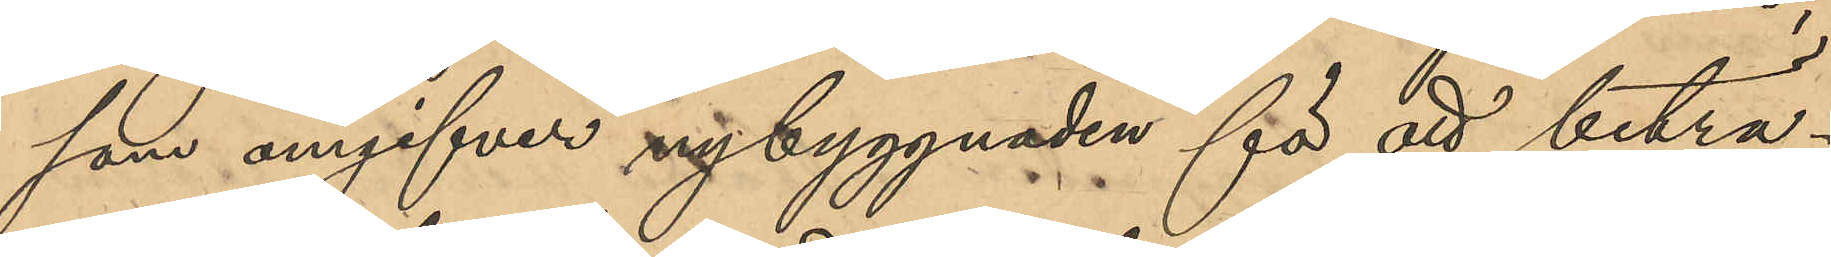som omgifver nybyggnaden för att biträ¬
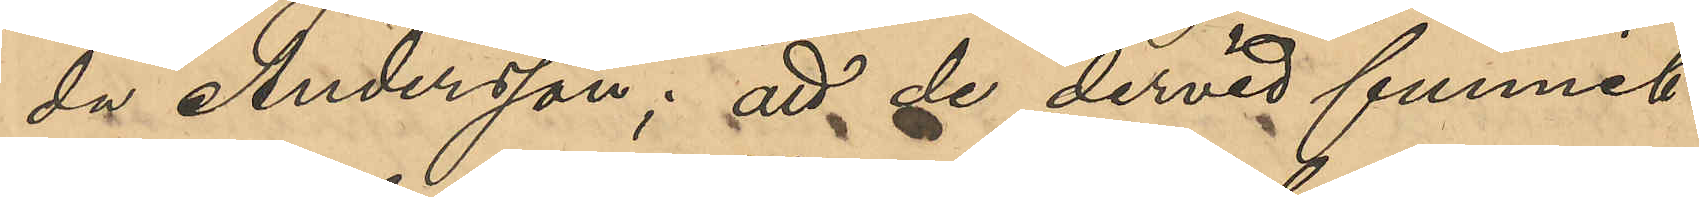da Andersson; att de dervid funnit
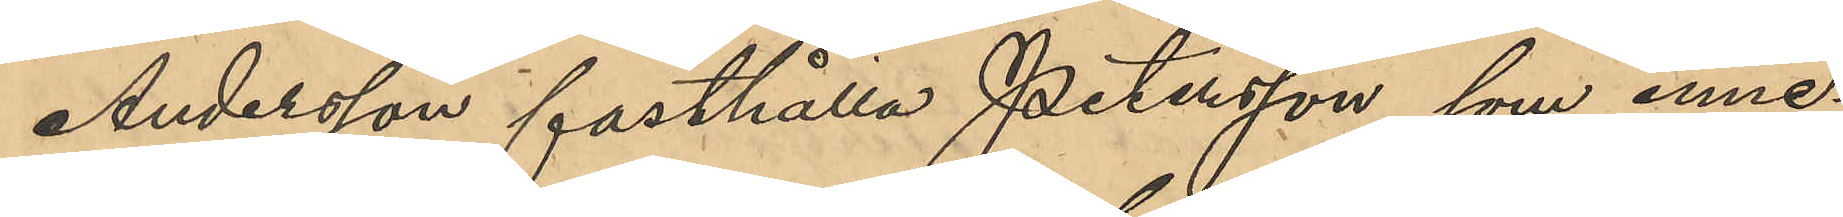Andersson fasthålla Petersson, som inne¬
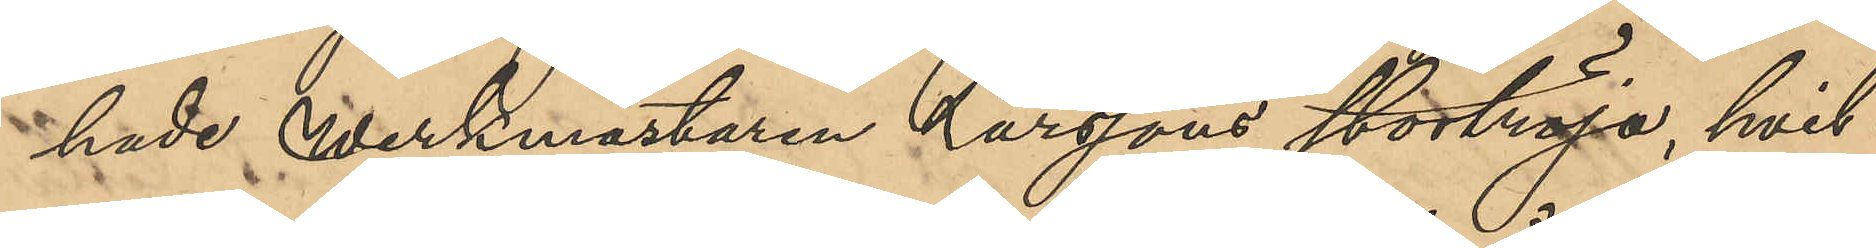hade werkmästaren Larssons stortröja, hvil¬
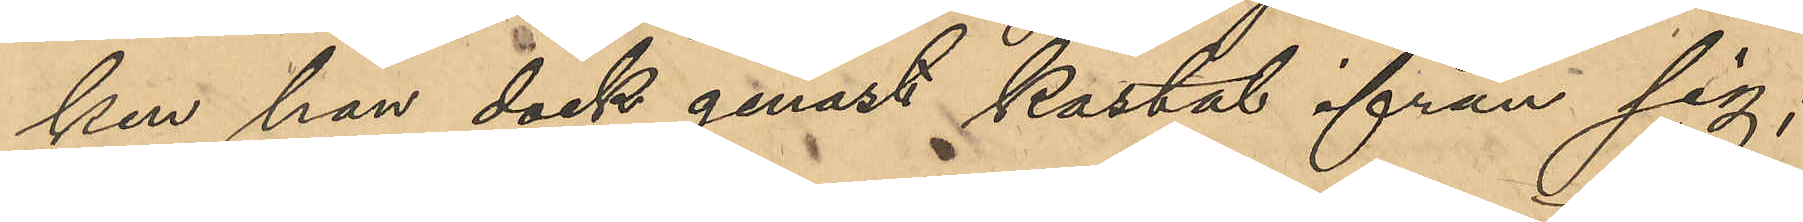ken han dock genast kastat från sig;
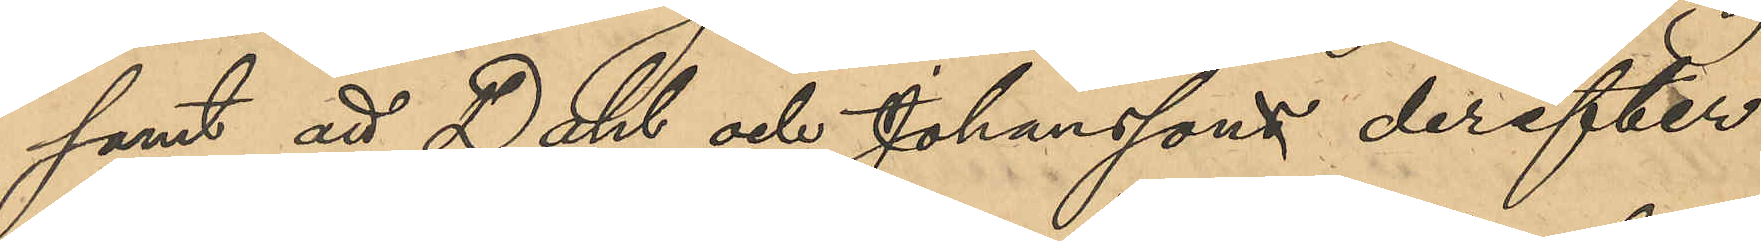samt att Dahl och Johanssons derefter
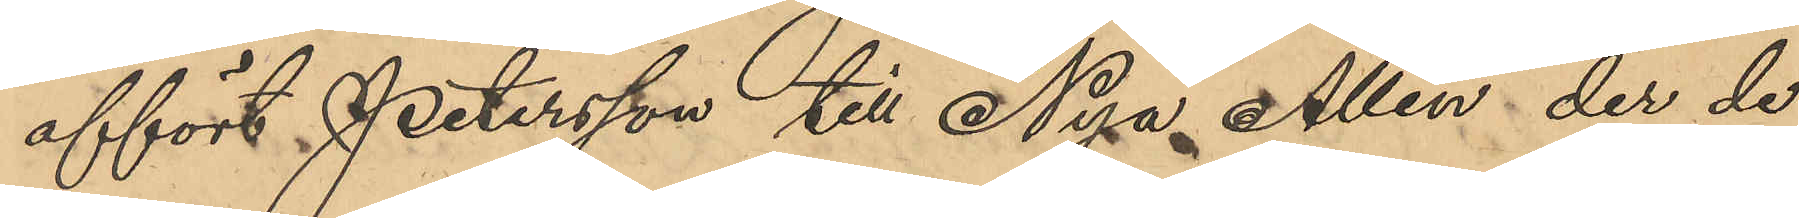affört Petersson till Nya Allén der de
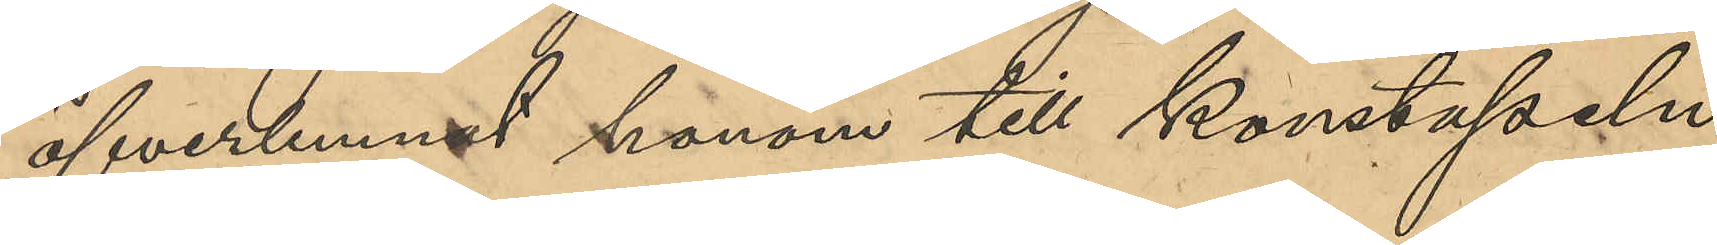öfverlemnat honom till Konstapeln
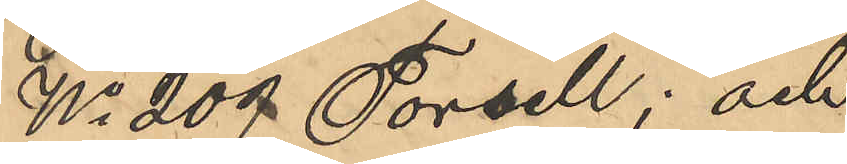No 209 Torsell; och
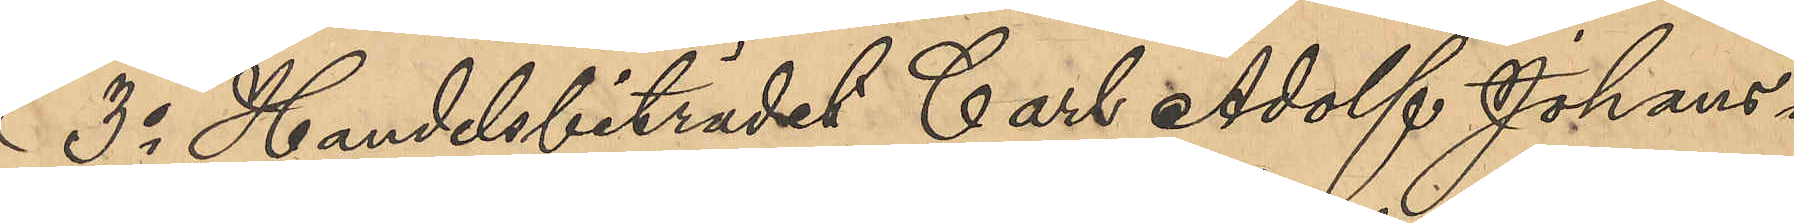3o Handelsbiträdet Carl Adolf Johans¬
